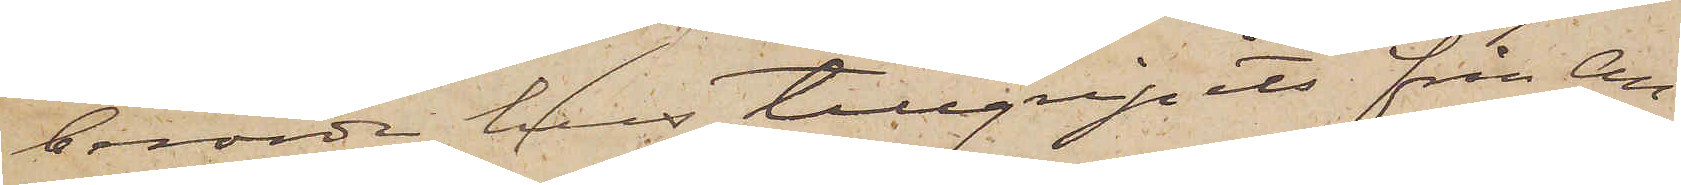berörde hus tillgripits från An¬
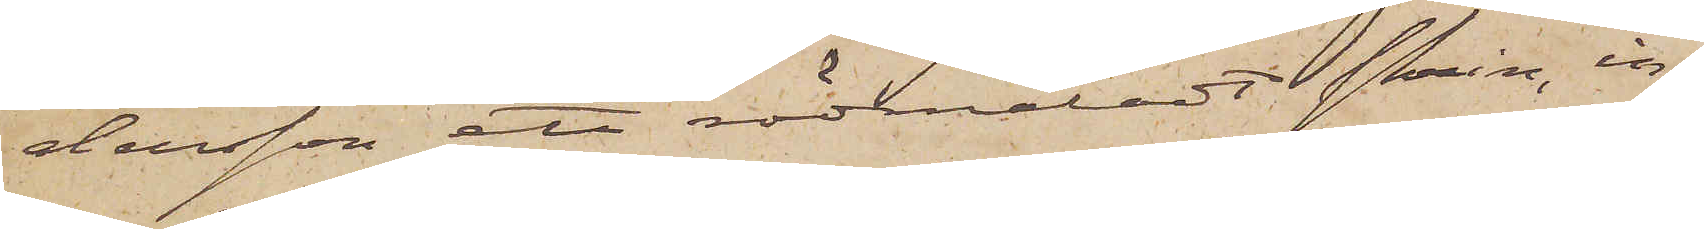dersson ett rödmåladt skrin, in¬
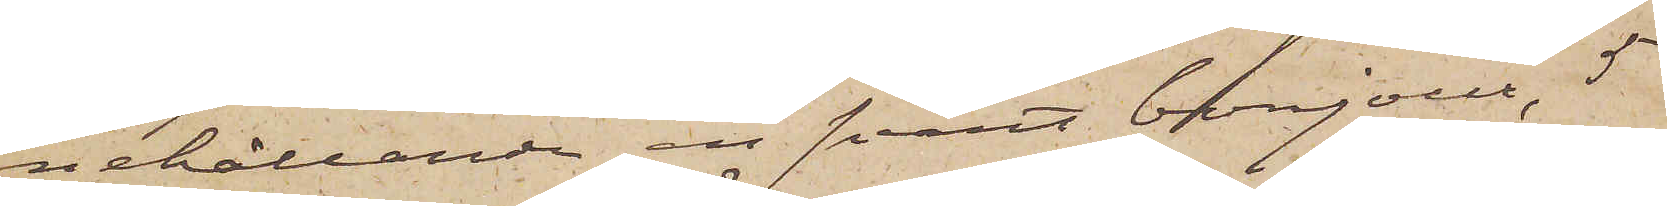nehållande en svart bonjour, 5
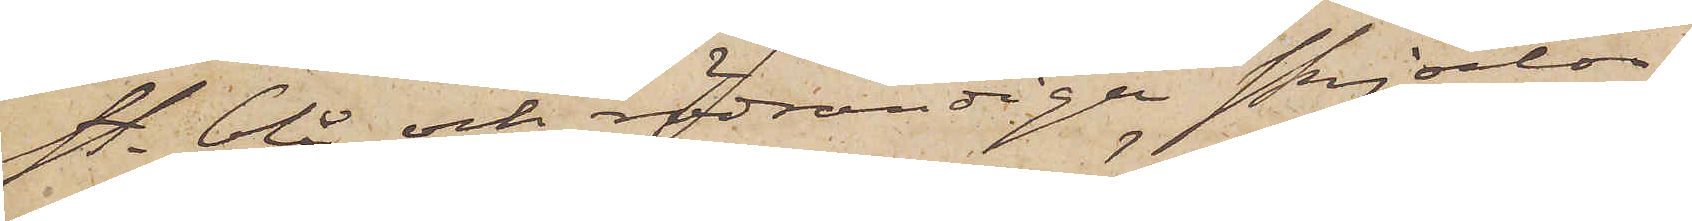st. blå och rödrandiga skjortor,
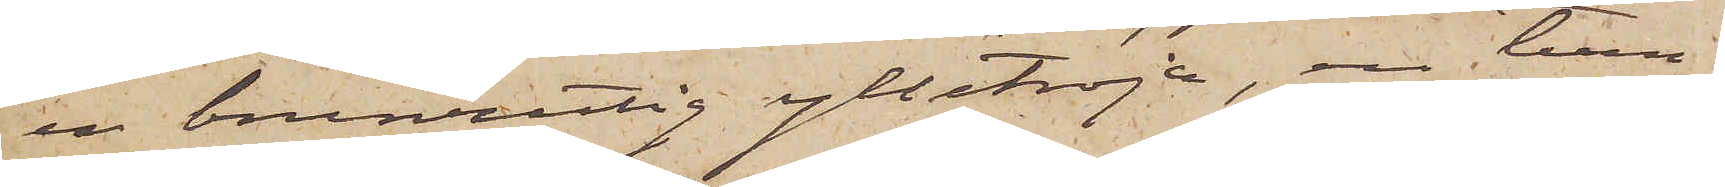en brunrutig ylletröja, en tum¬
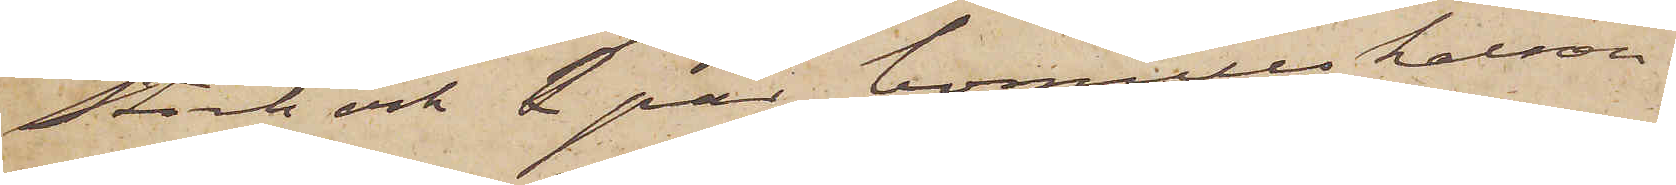stock och 2 par bomullskalson¬
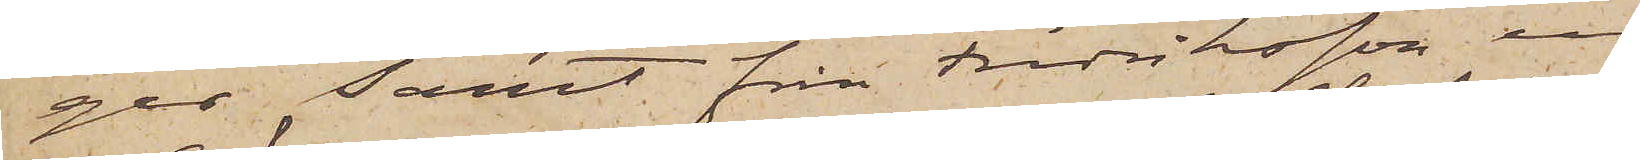ger, samt från Fredriksson en
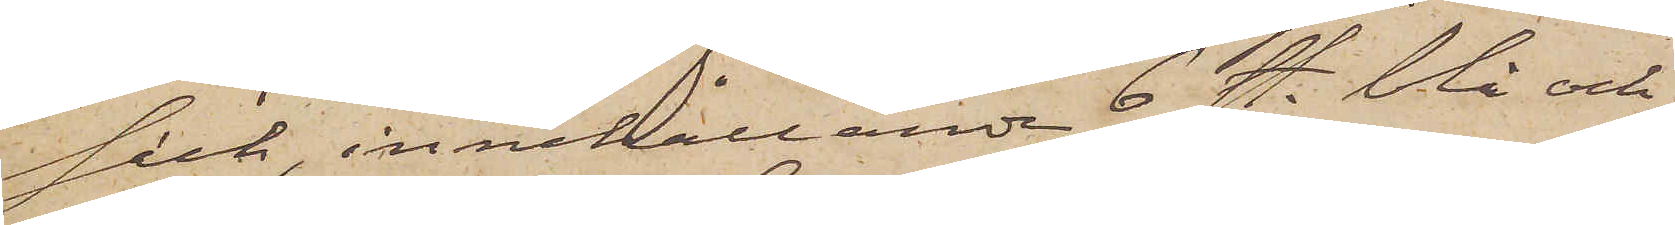säck, innehållande 6 st. blå och
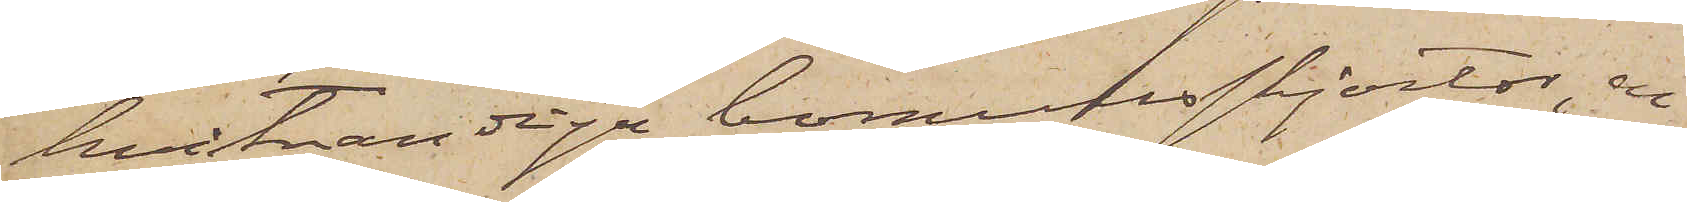hvitrandiga bomullsskjortor, en
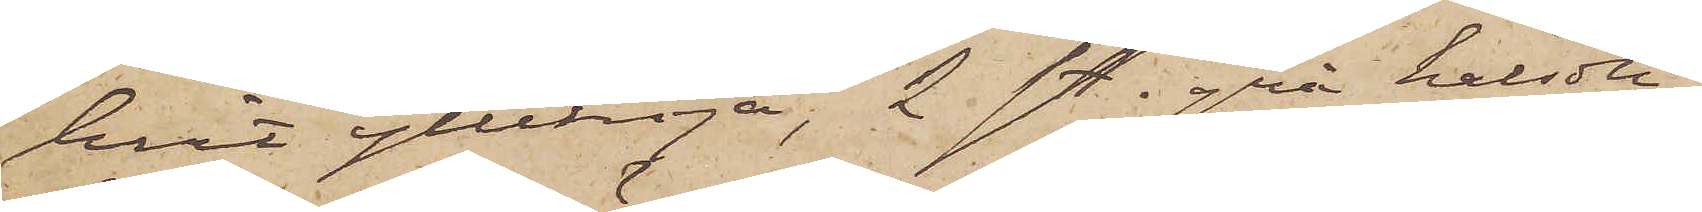hvit ylletröja, 2 st. grå halsdu¬
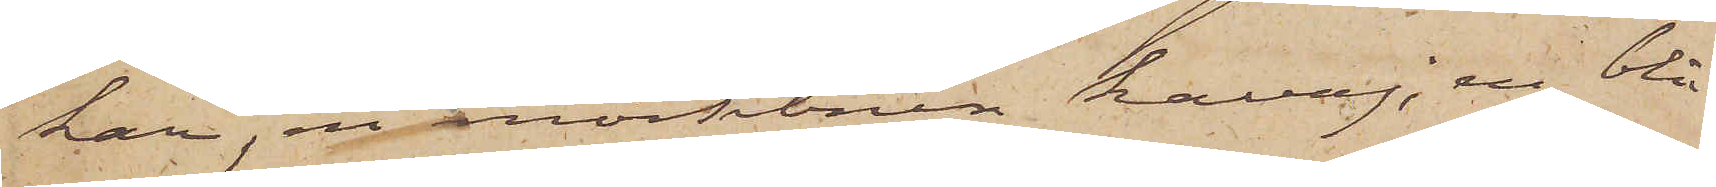kar, en mörkbrun kavaj, en blå
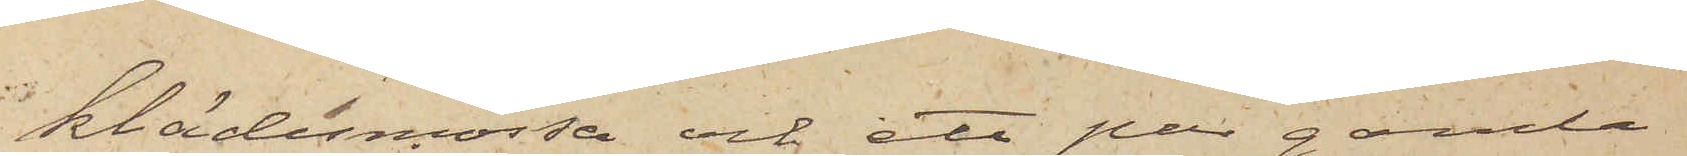klädesmössa och ett par gamla
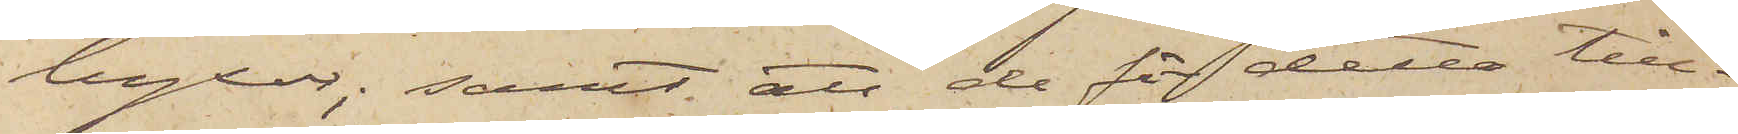byxor; samt att de för detta till¬
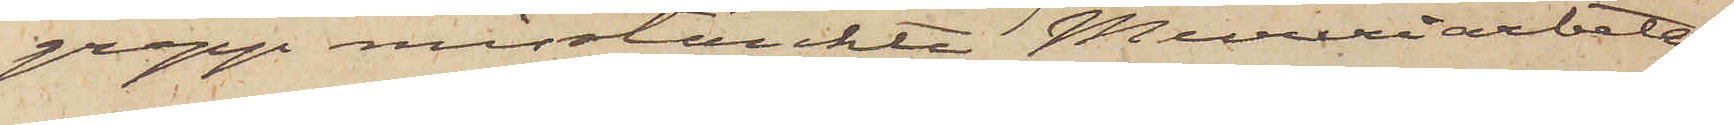grepp misstänkte Mureriarbeta¬
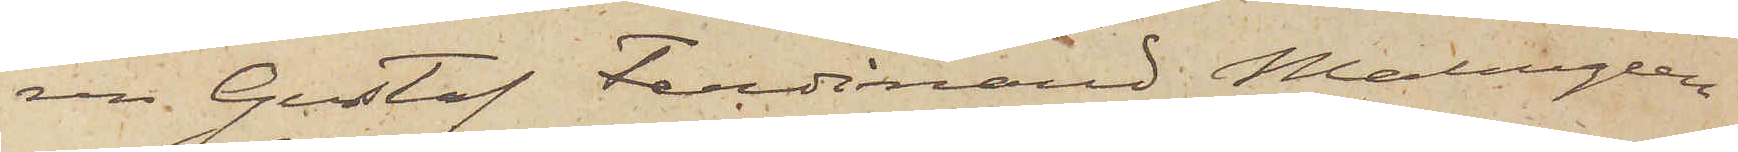ren Gustaf Ferdinand Malmgren
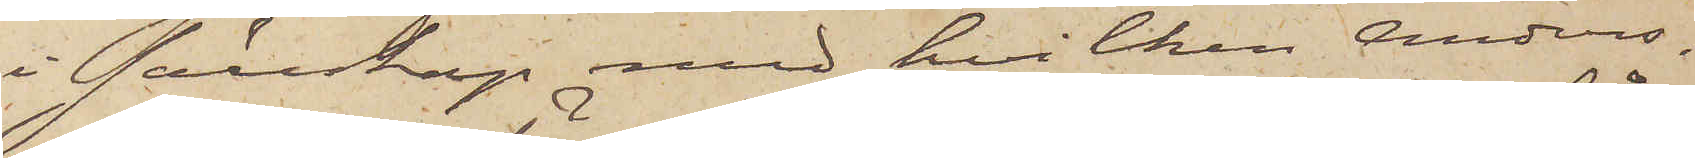i sällskap med hvilken Anders¬
